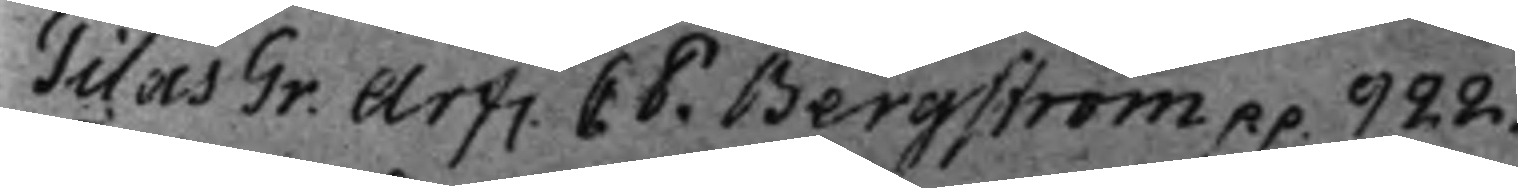Tilas Gr. Arf. C. P. Bergström p.p. 922.
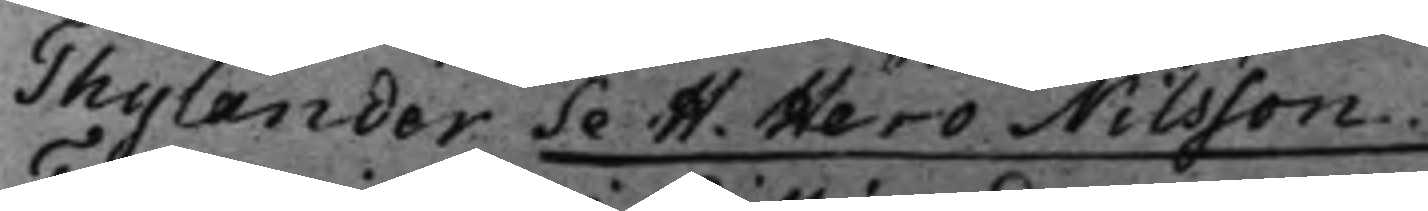Thylander Se H. Hero Nilsson.
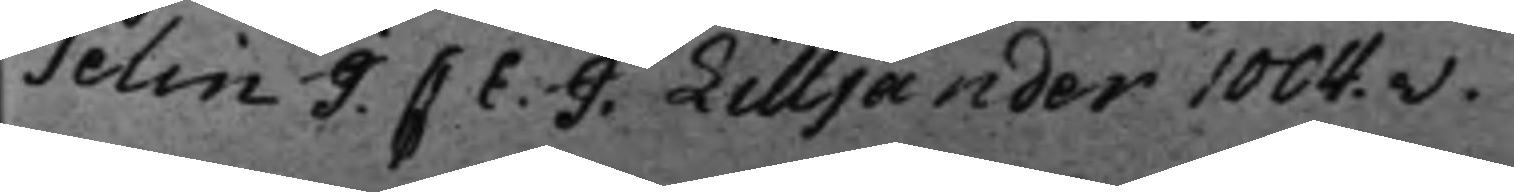Telin J. C E. J. Lilljander 1004..v.
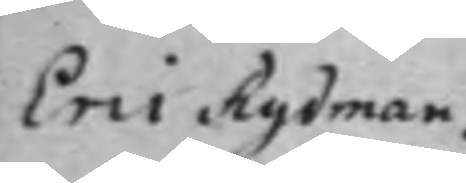Eric Rydman
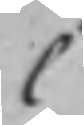C
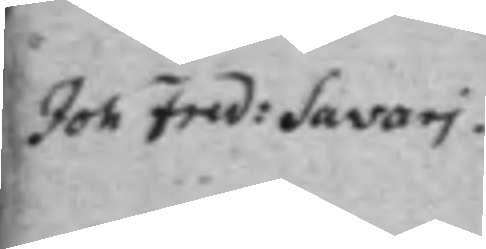Joh Fred: Savari.
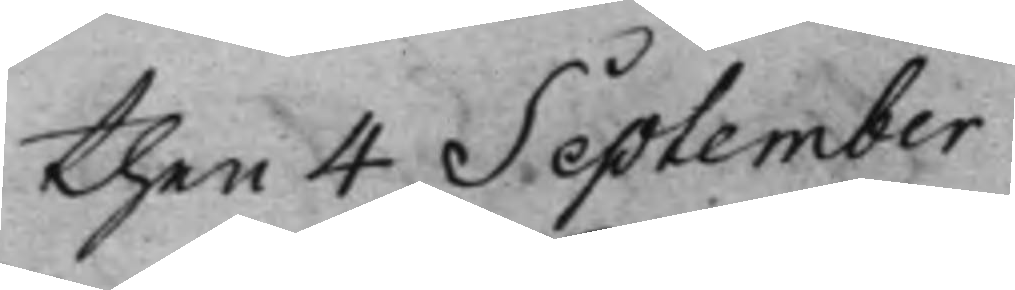then 4 September
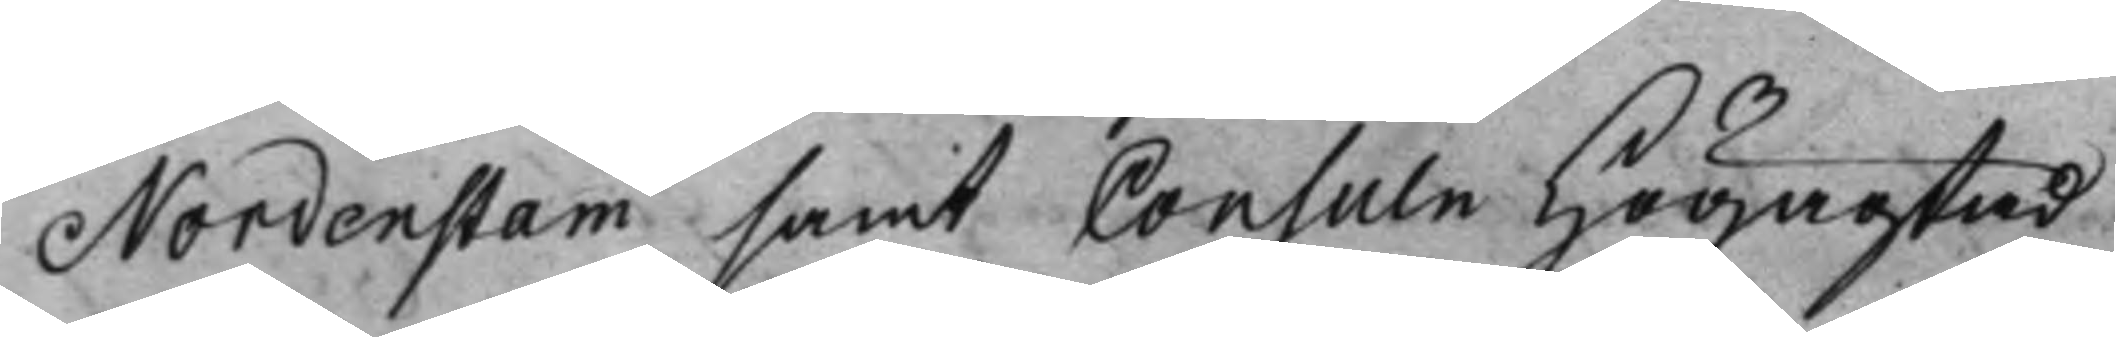Nordenstam samt Consuln Högagtad
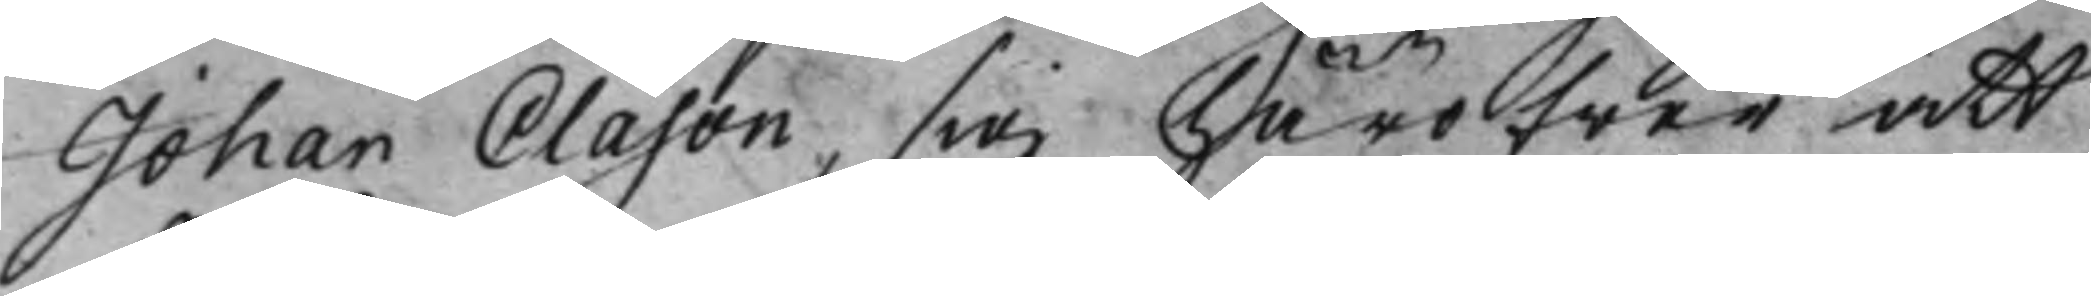Johan Clason, sig häröfwer att
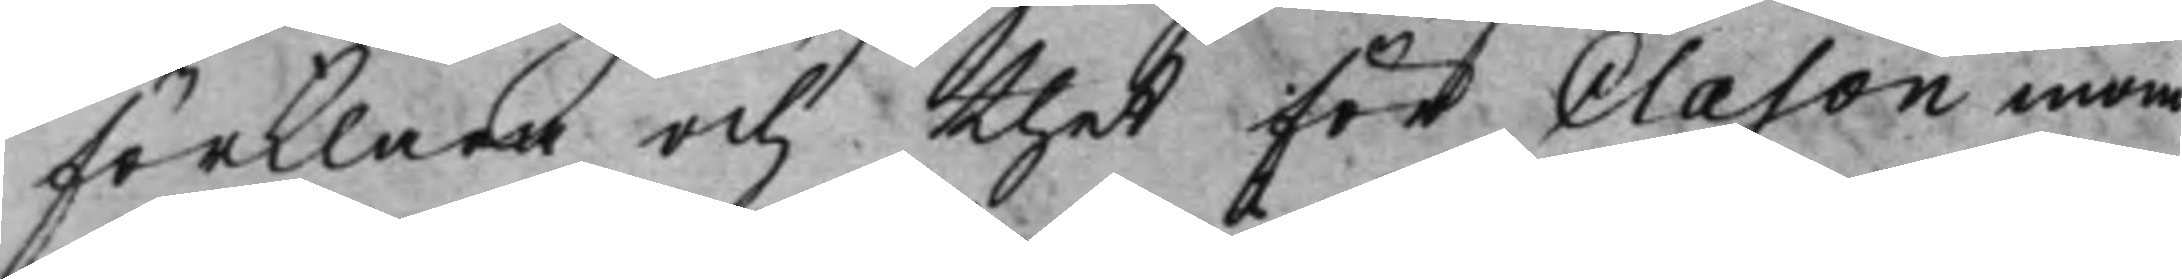förklara och thet för Clason inom
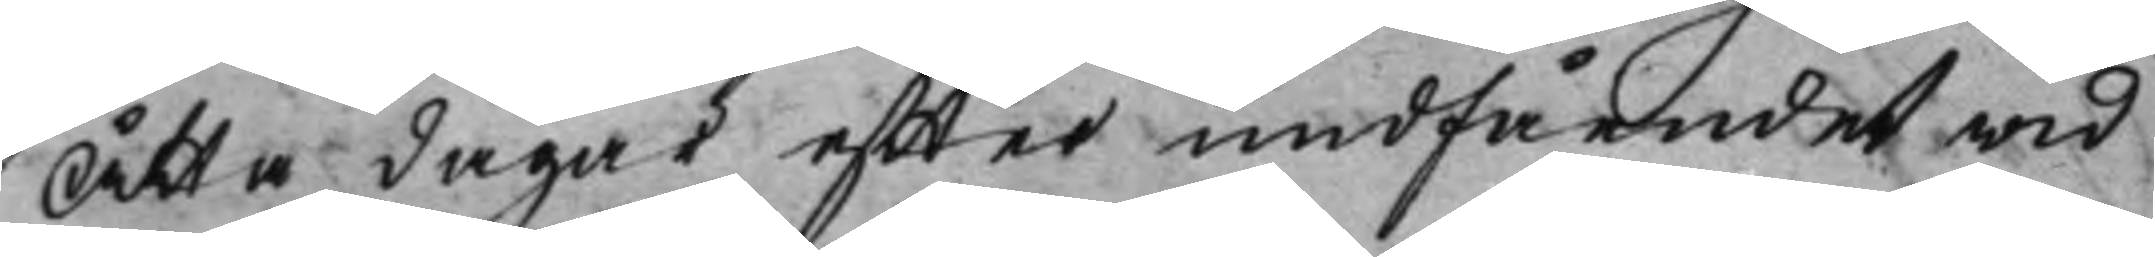Åtta dagar effter undfåendet wid
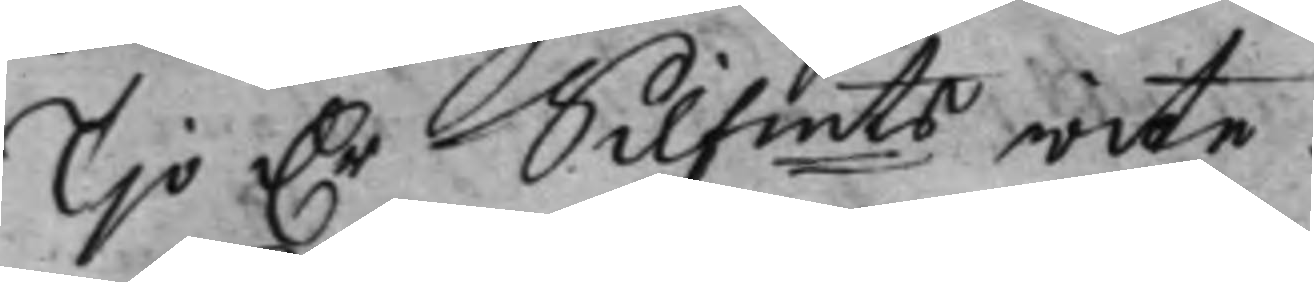Tio Dr Silfmts wite.
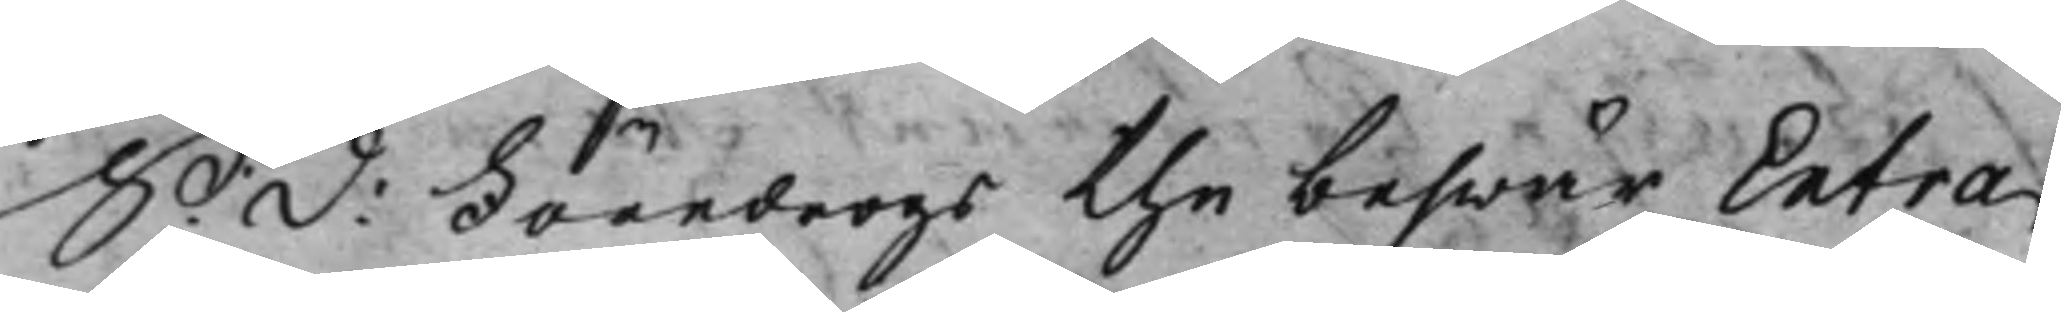S: d: Företogs the beswär Extra
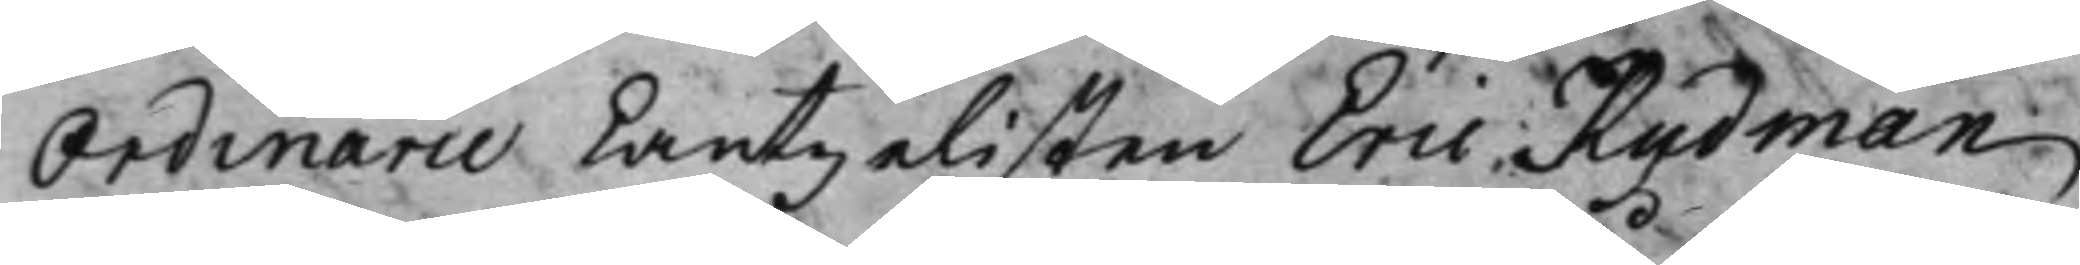Ordinarie Cantzelisten Eric Rydman
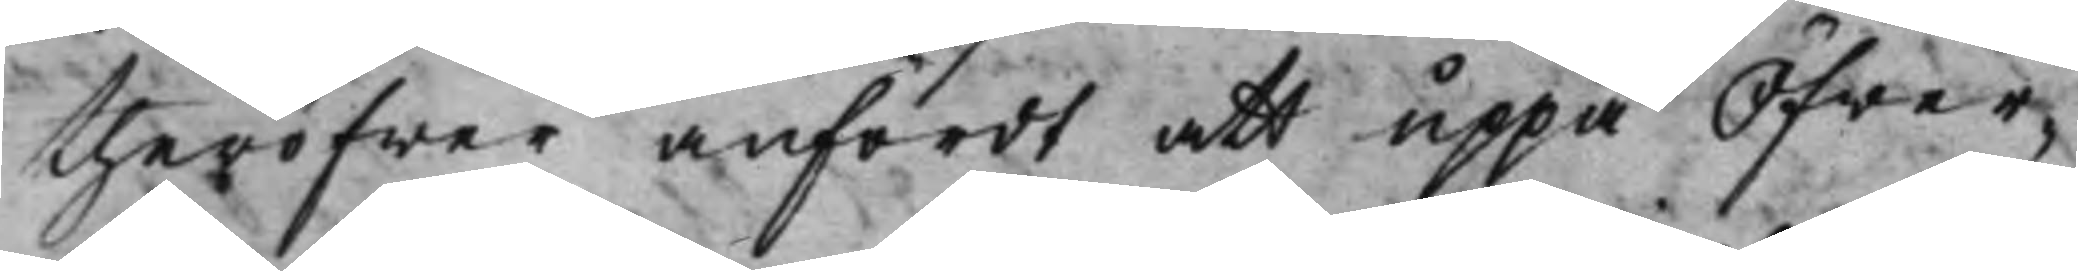theröfwer anfördt att uppå Öfwer¬
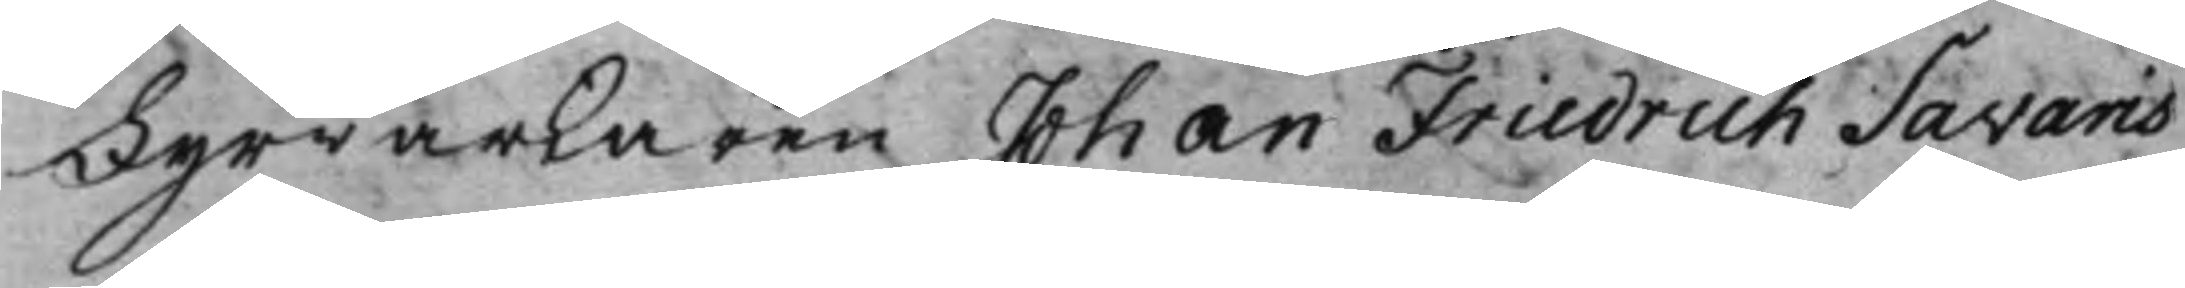Fyrwärkaren Johan Friedrich Savaris
